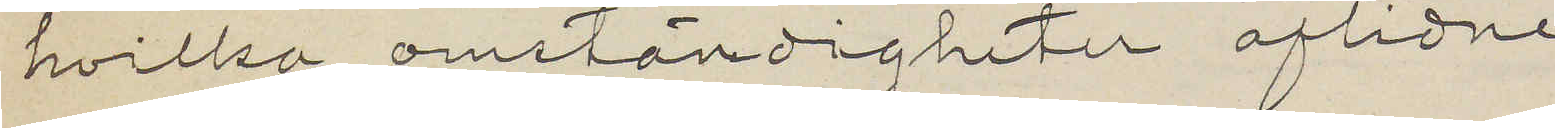hvilka omständigheter aflidne
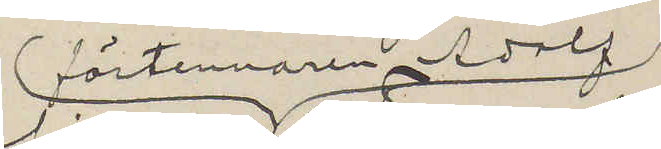förtennaren Adolf
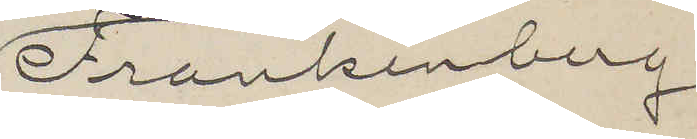Frankenberg
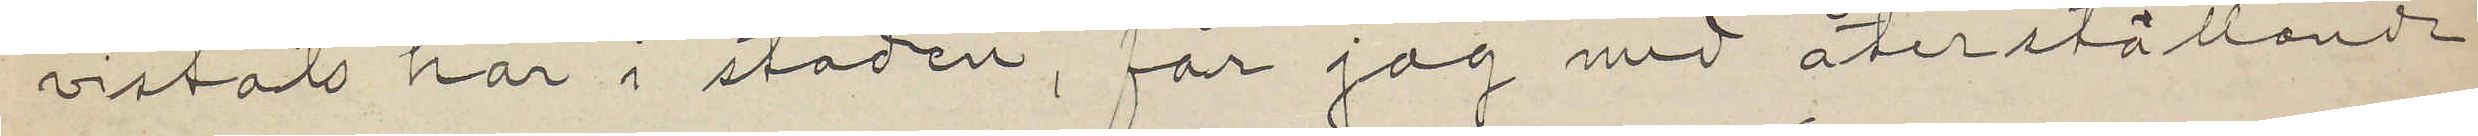vistats här i staden, får jag med återställande
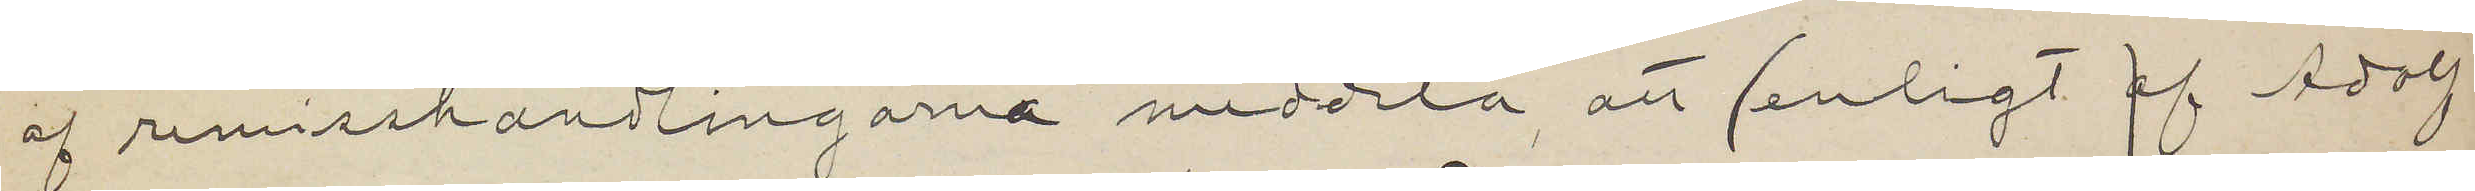af remisshandlingarna meddela, att (enligt af Adolf
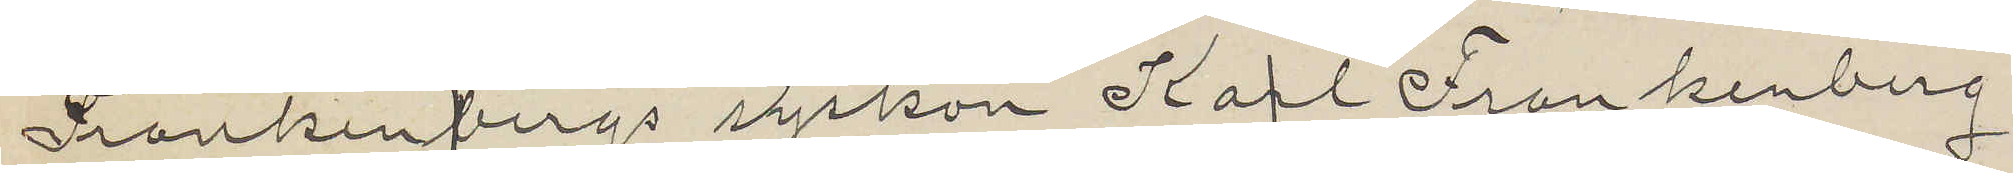Frankenbergs syskon Karl Frankenberg
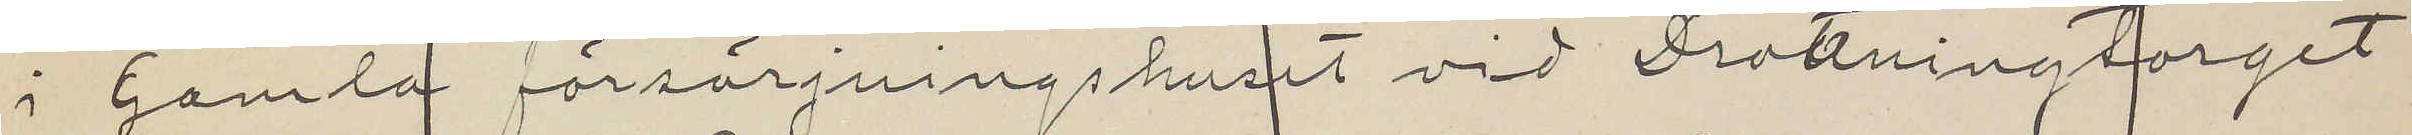i Gamla försörjningshuset vid Drottningtorget
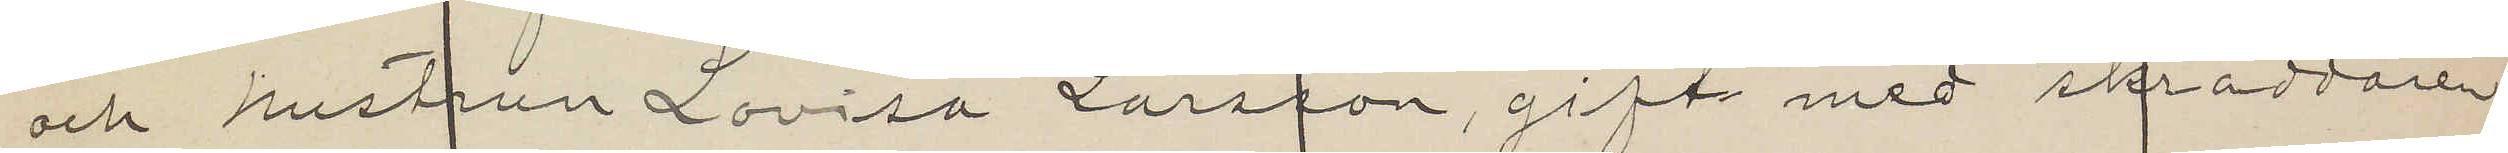och hustrun Lovisa Larsson, gift med skräddaren
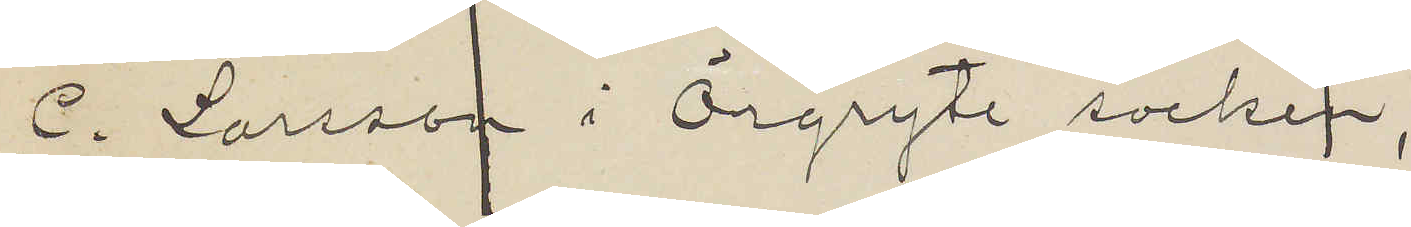C. Larsson i Örgryte socken,
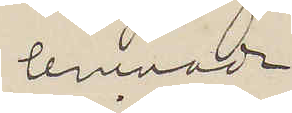lemnade
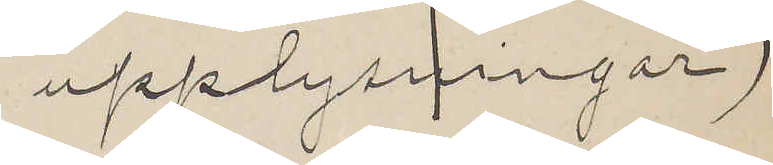upplysningar)
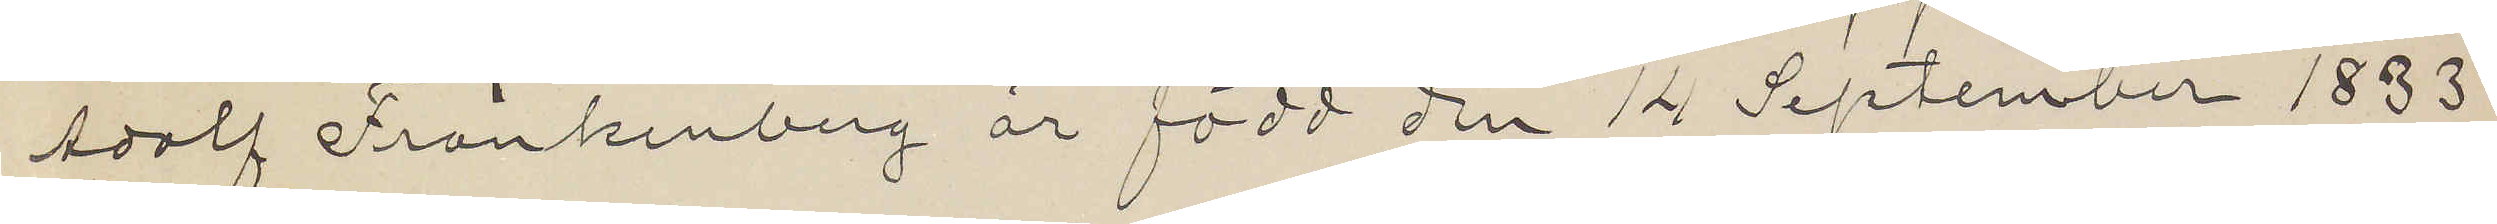Adolf Frankenberg är född den 14 September 1833
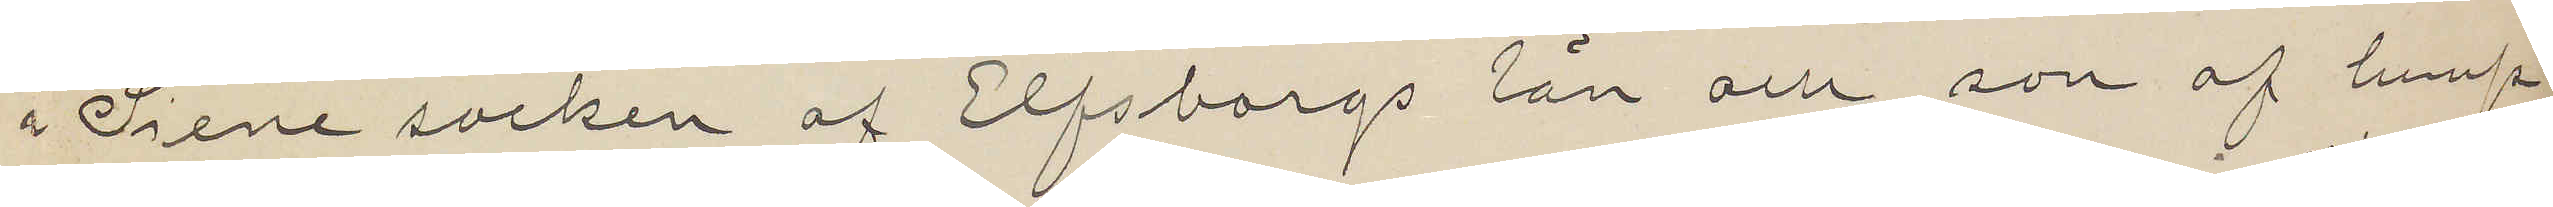i Siene socken af Elfsborgs län och son af lump¬
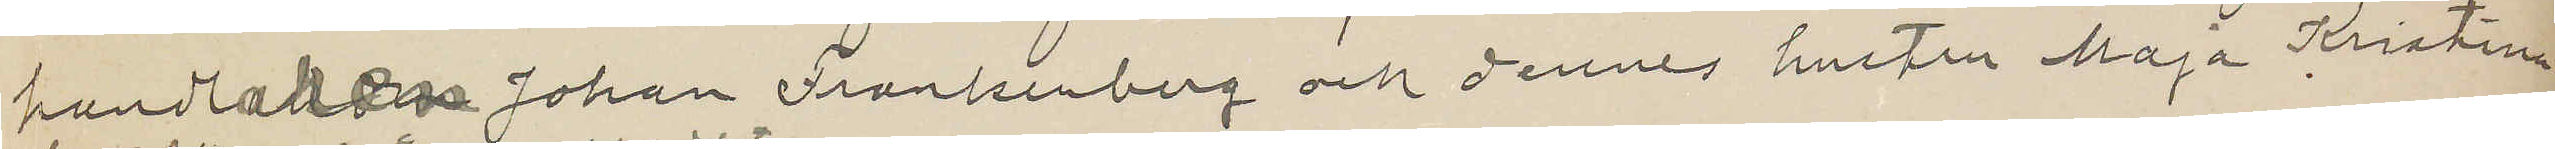handlaren Johan Frankenberg dennes hustru Maja Kristina
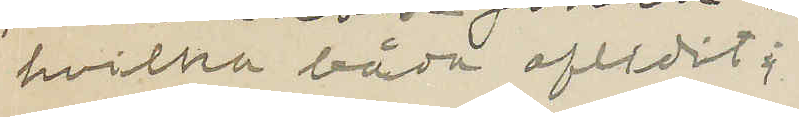hvilka båda aflidit;
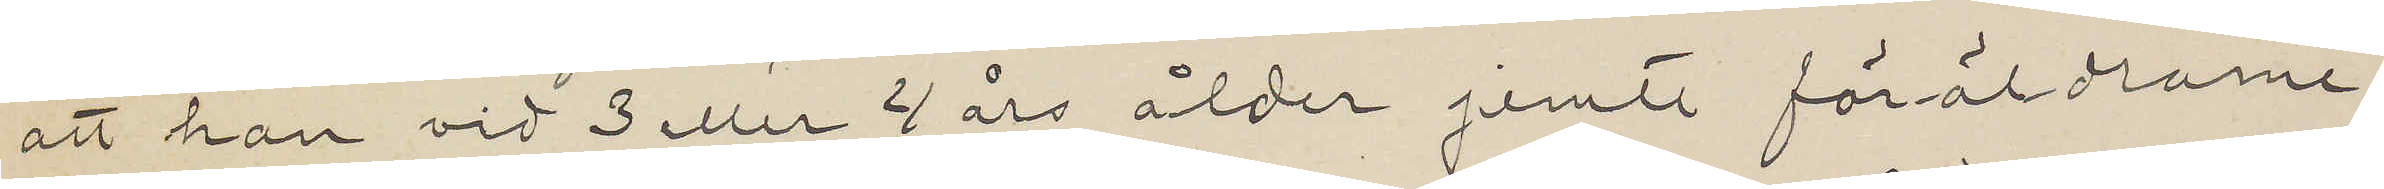att han vid 3 eller 4 års ålder jemte föräldlarne
